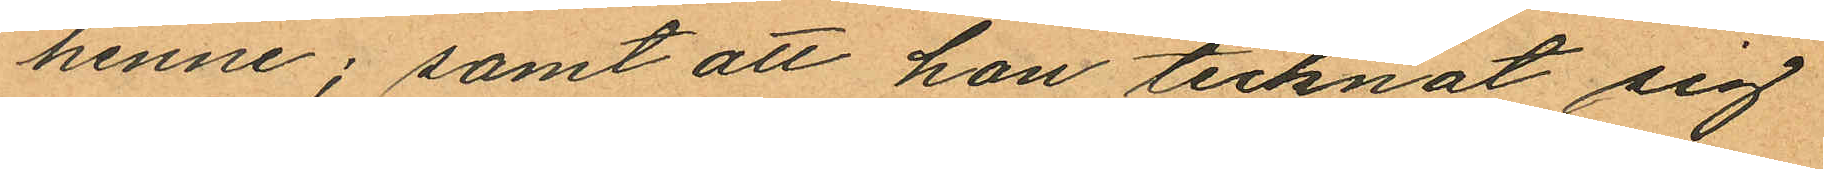henne; samt att hon tecknat sig
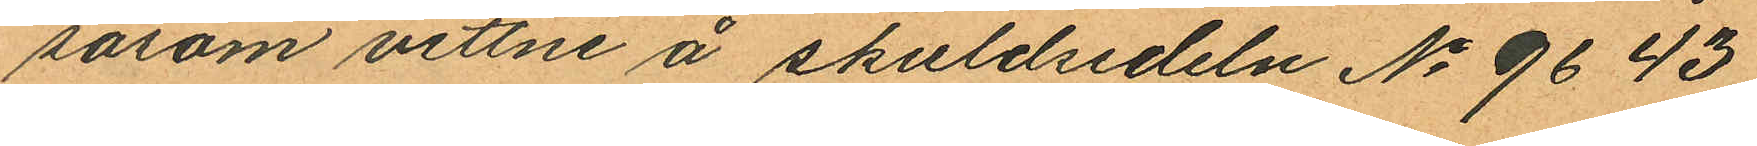såsom vittne å skuldsedeln No 9643
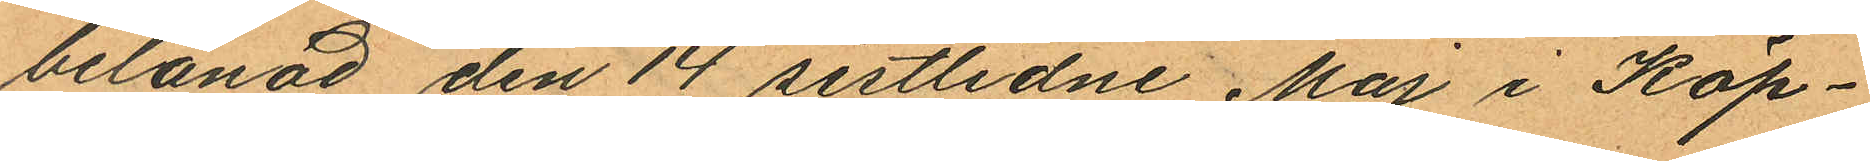belånad den 14 sistlidne Maj i Köp¬
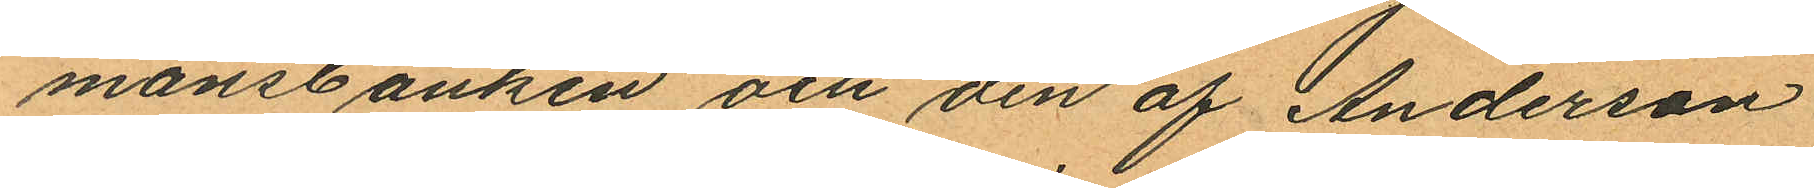mansbanken och den af Anderson
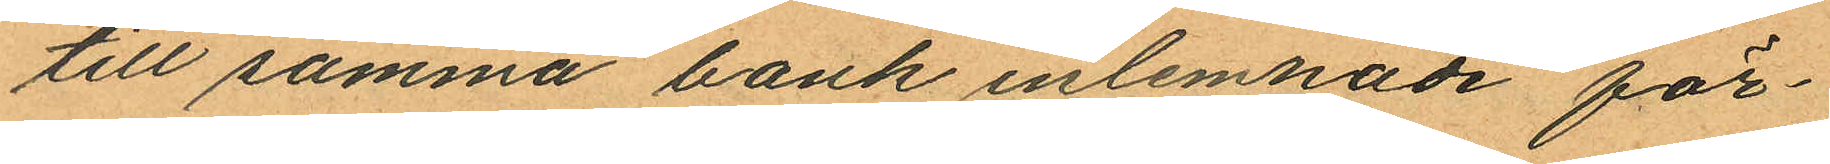till samma bank inlemnade för¬
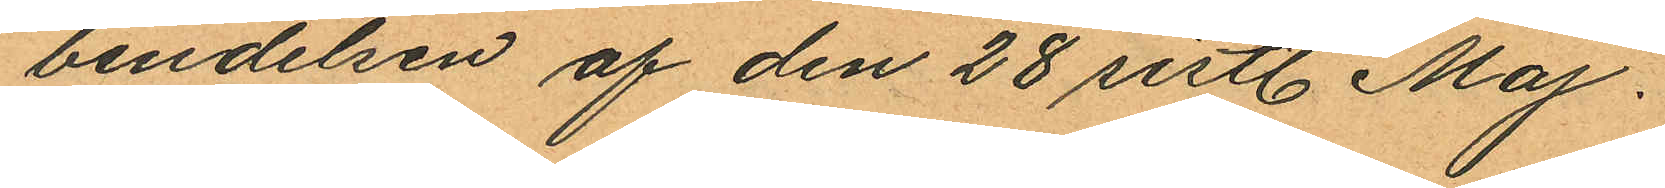bindelsen af den 28 sistl. Maj.
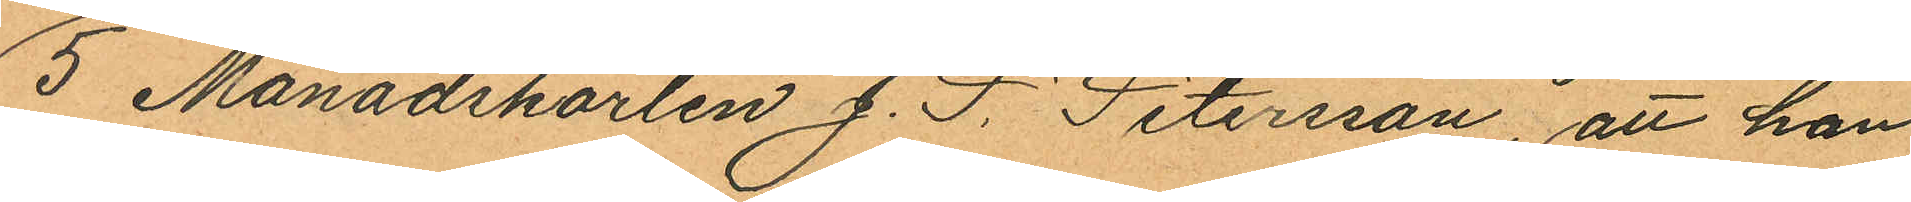5 Månadskarlen J. F. Petersson, att han
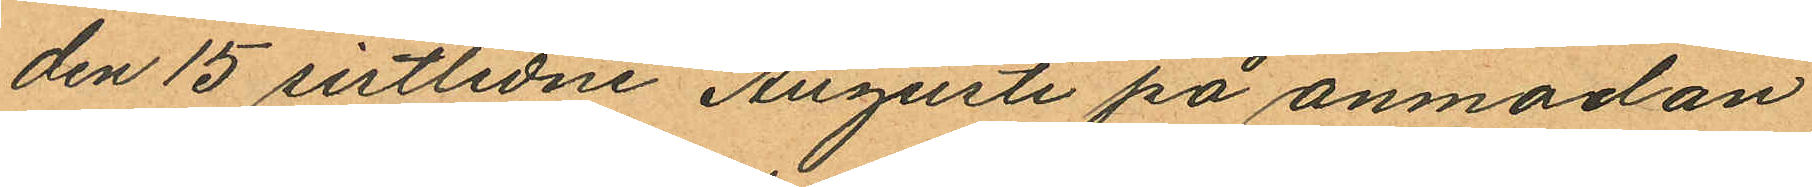den 15 sistlidne Augusti på anmodan
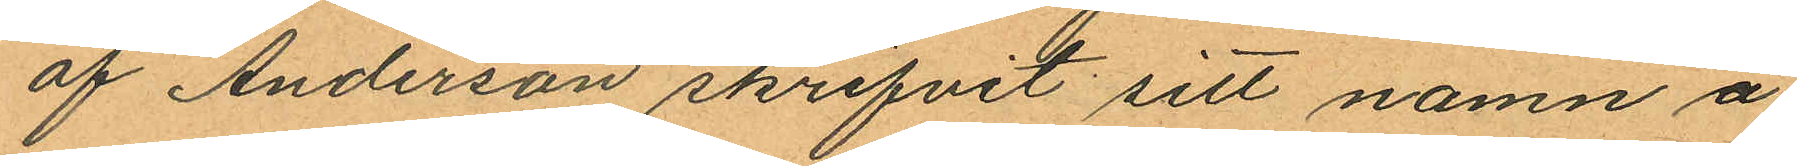af Anderson skrifvit sitt namn å
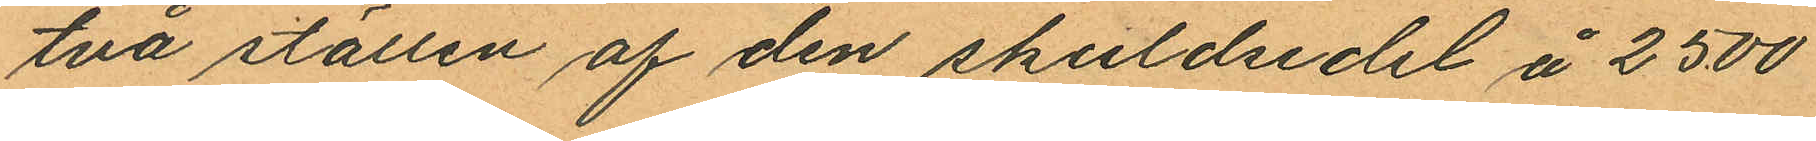två ställen af den skuldsedel å 2500
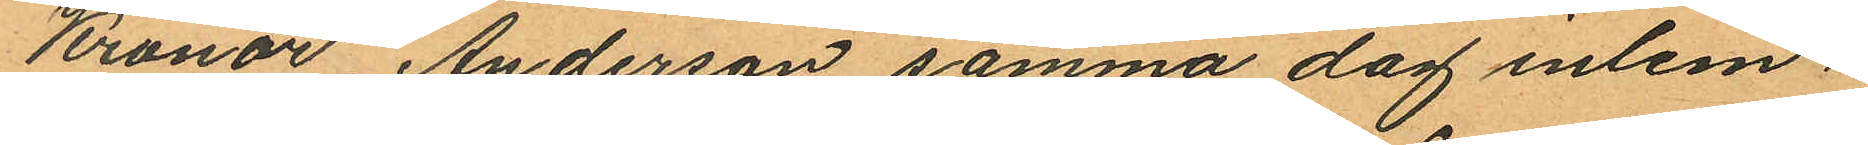Kronor Anderson samma dag inlem¬
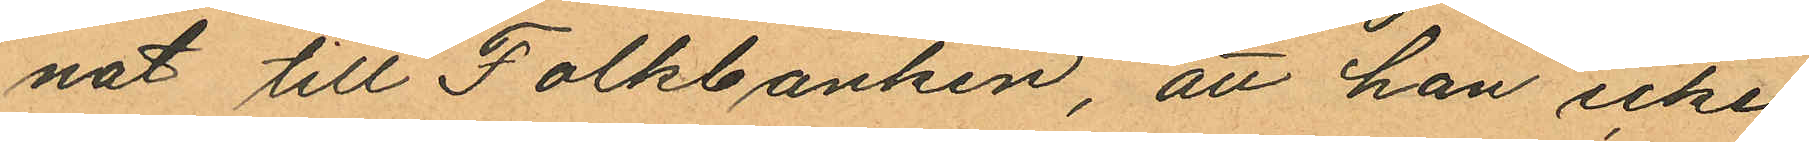nat till Folkbanken, att han icke
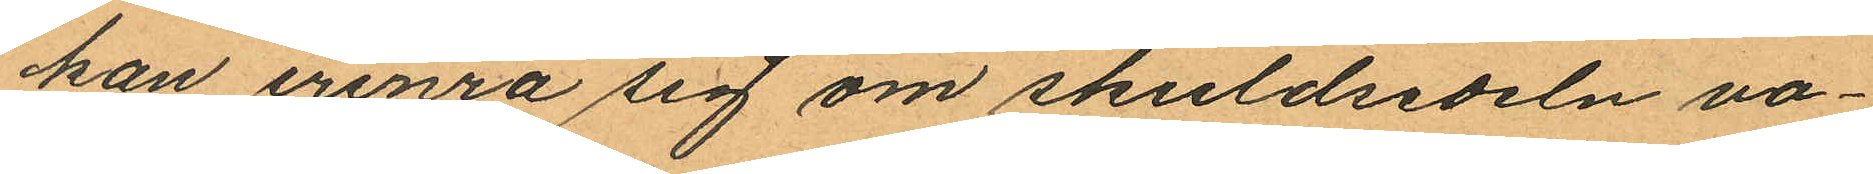kan erinra sig om skuldsedeln va¬
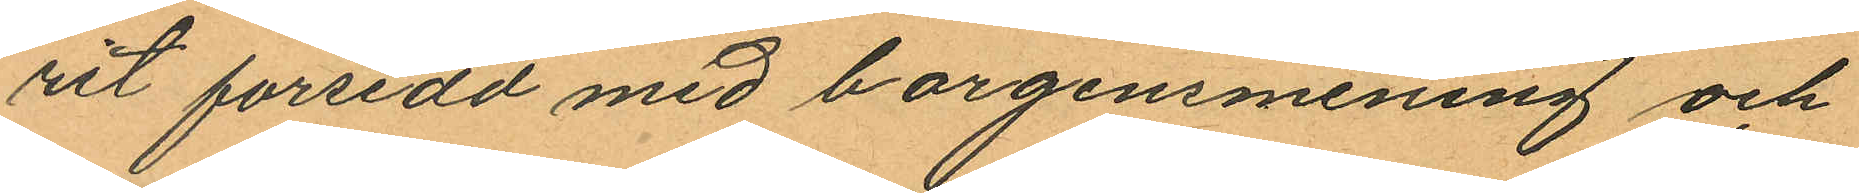rit försedd med borgensmening och
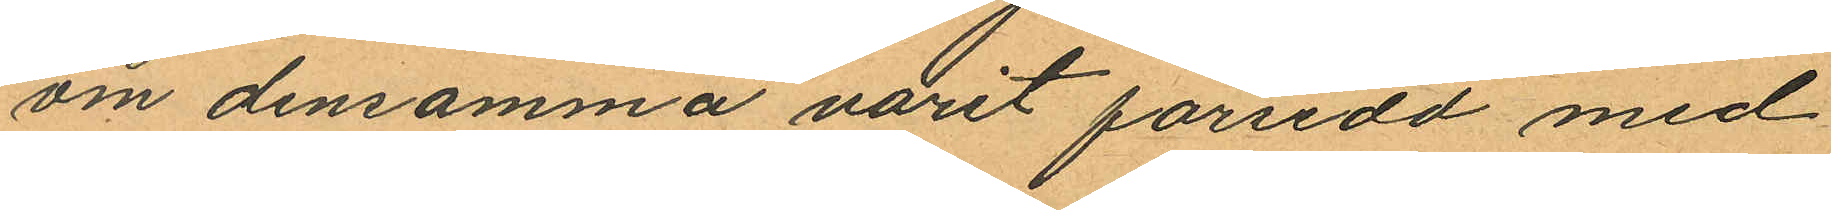om densamma varit försedd med
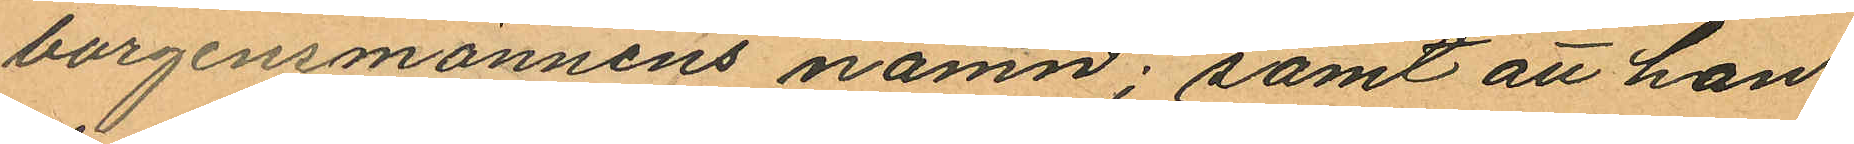borgensmännens namn; samt att han
